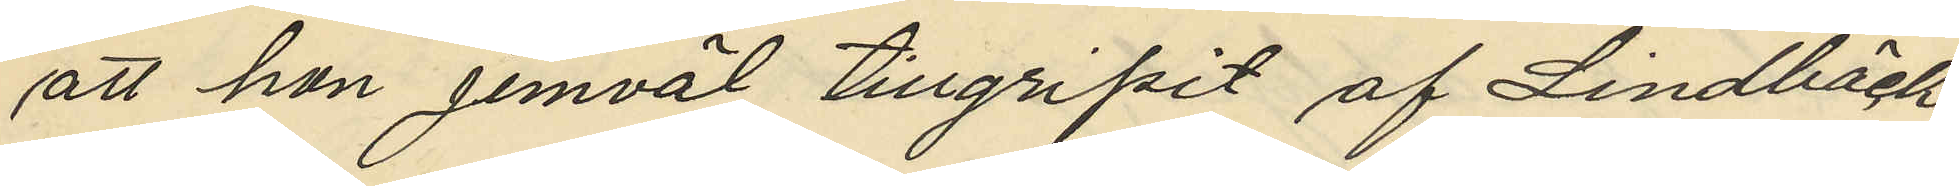att hon jemväl tillgripit af Lindbäck
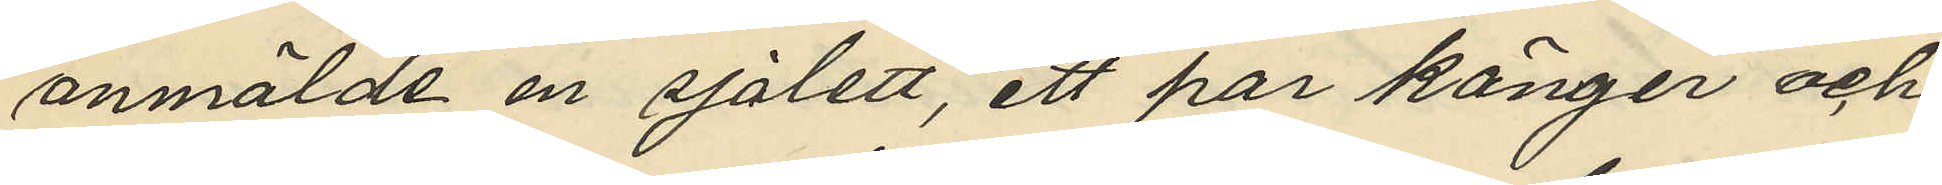anmälde en sjalett, ett par känger och
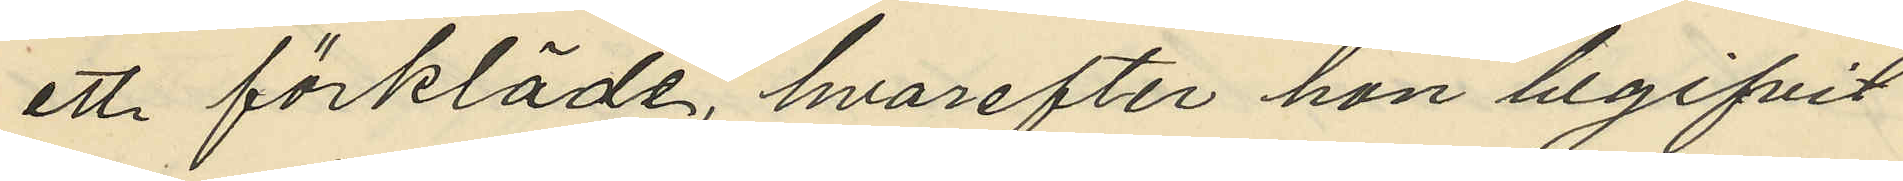ett förkläde, hvarefter hon begifvit
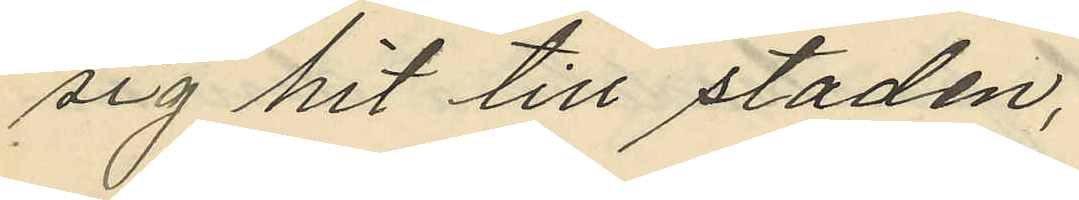sig hit till staden;
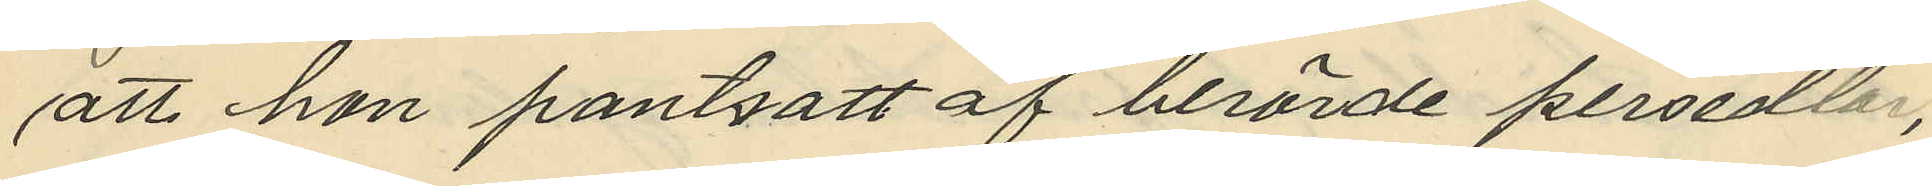att hon pantsatt af berörde persedlar,
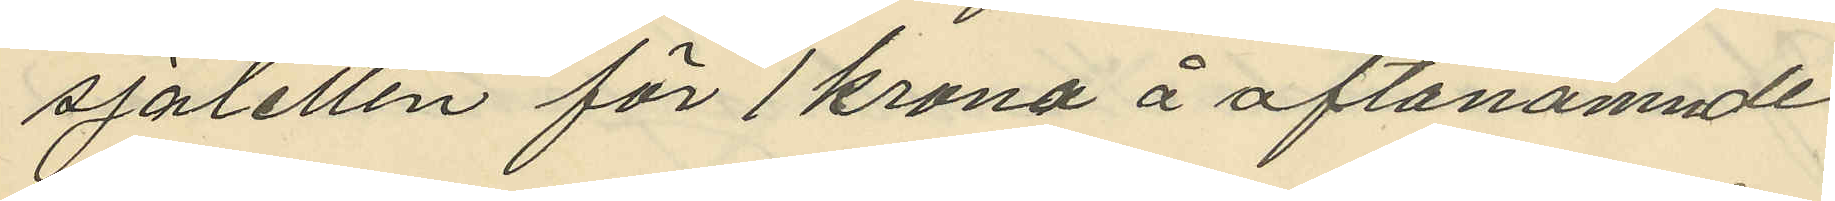sjaletten för 1 krona å oftanämnde
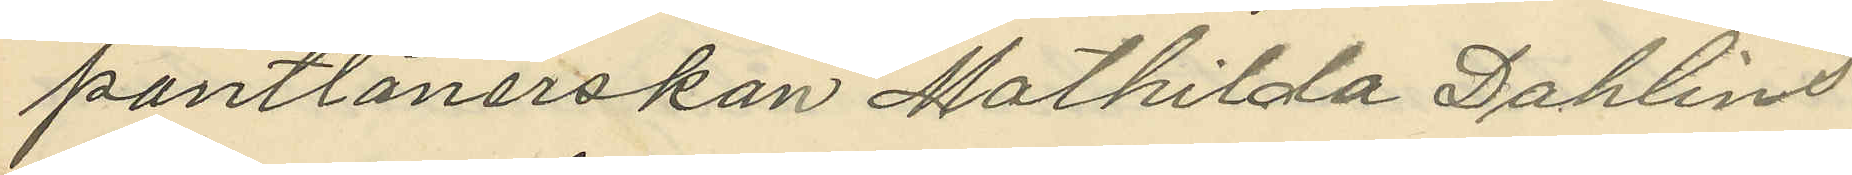pantlånerskan Mathilda Dahlins
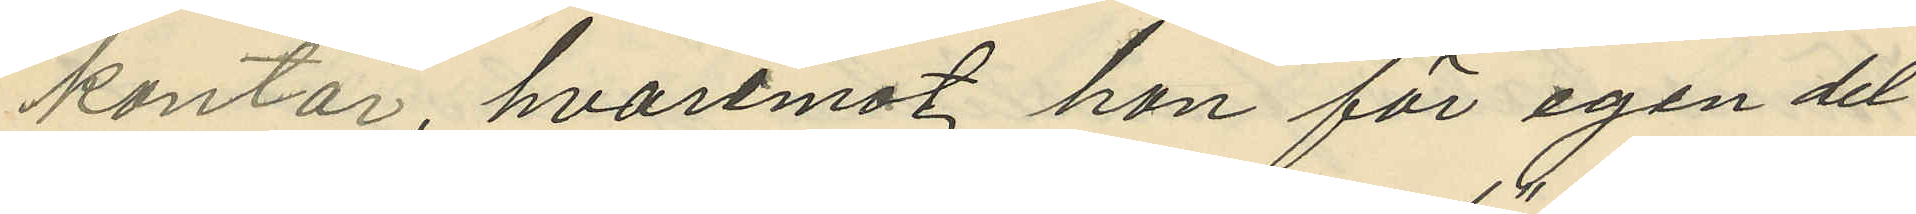kontor, hvarmot hon för egen del
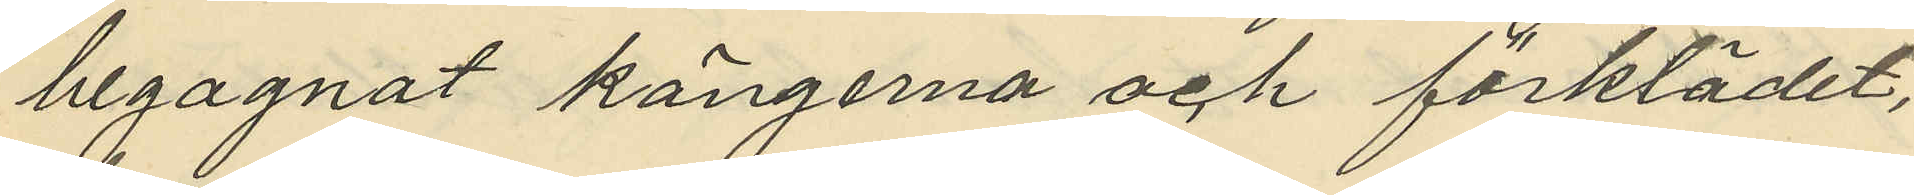begagnat kängerna och förklädet,
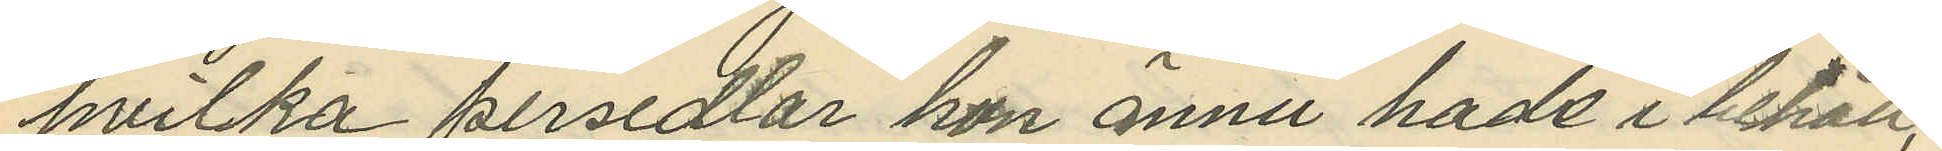hvilka persedlar hon ännu hade i behåll;
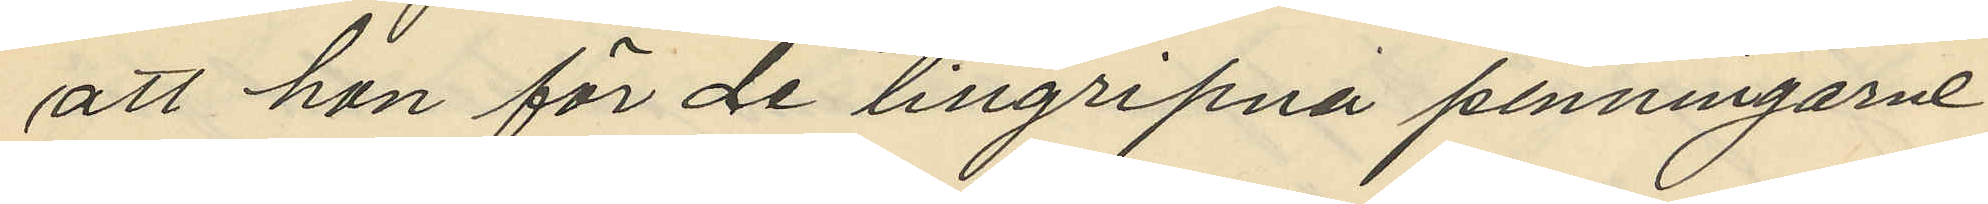att hon för de tillgripna penningarne
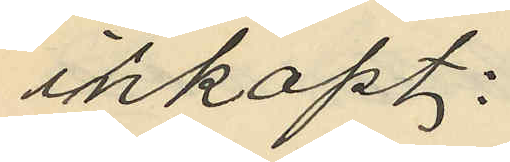inköpt:
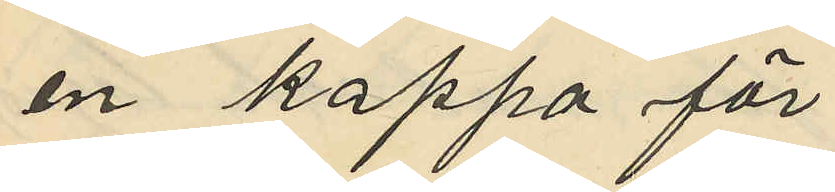en kappa för
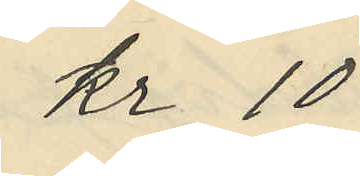kr 10
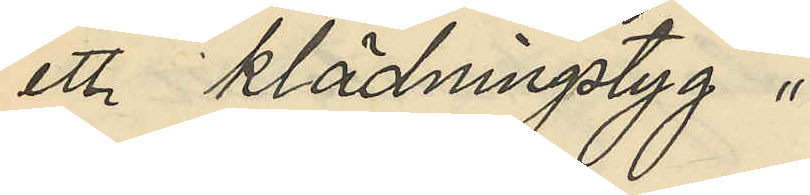ett klädningstyg "
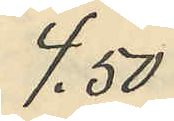4.50
